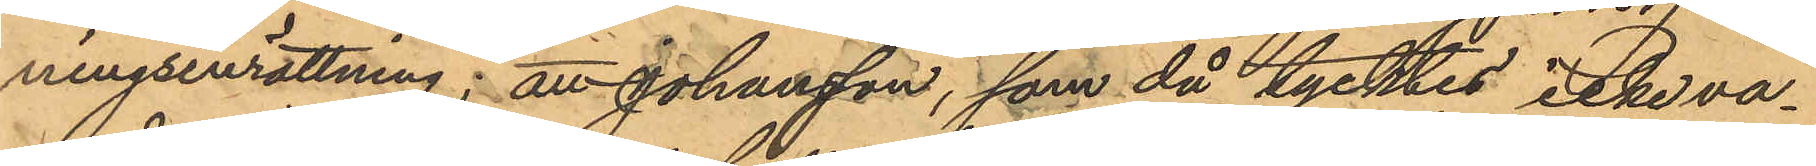ningsinrättning; att Johansson, som då tycktes icke va¬
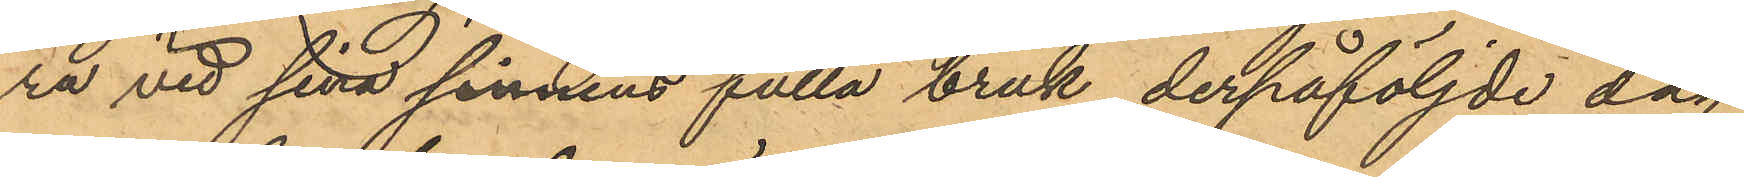ra vid sina sinnens fulla bruk, derpåföljde dag
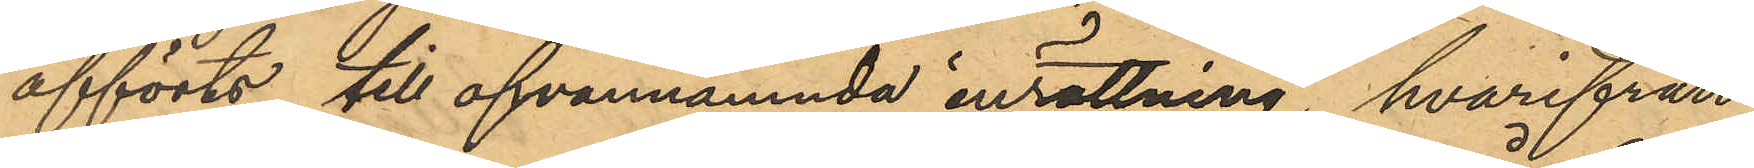afförts till ofvannämnda inrättning, hvarifrån
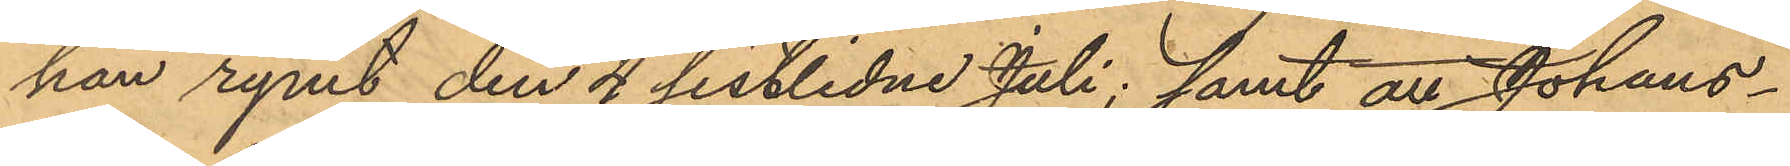han rymt den 4 sistlidne Juli; samt att Johans¬
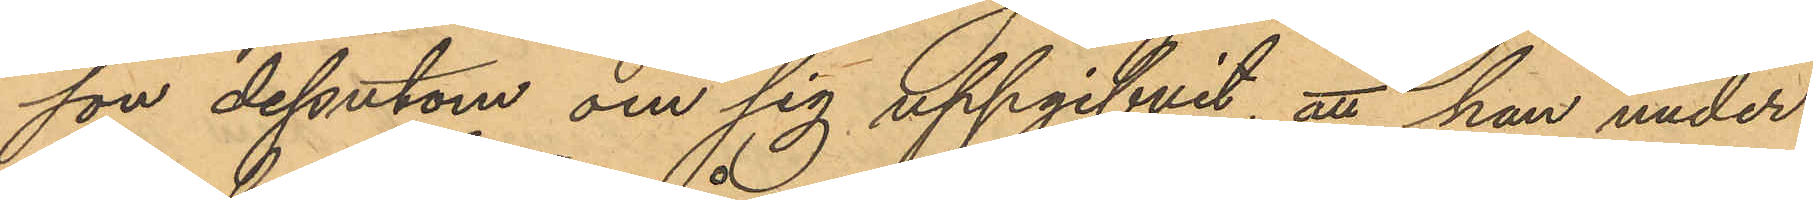son dessutom om sig uppgifvit, att han under
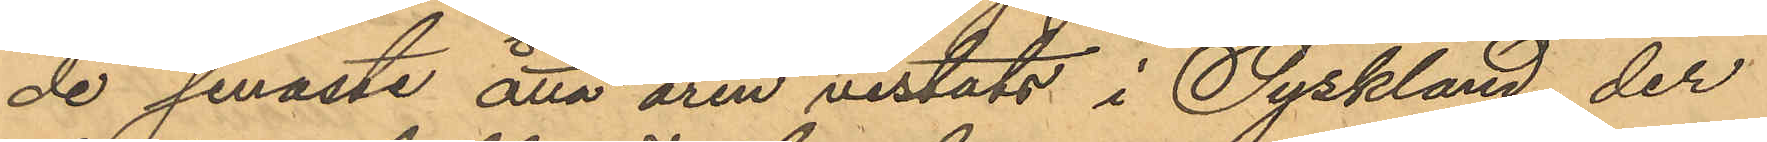de senaste åtta åren vistats i Tyskland, der
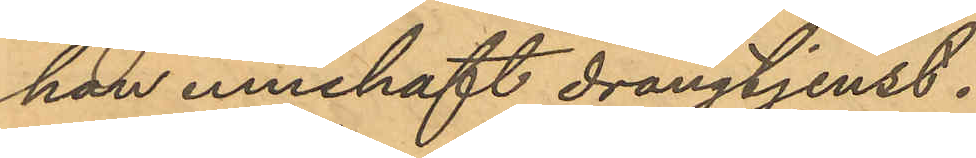han innehaft drängtjenst.
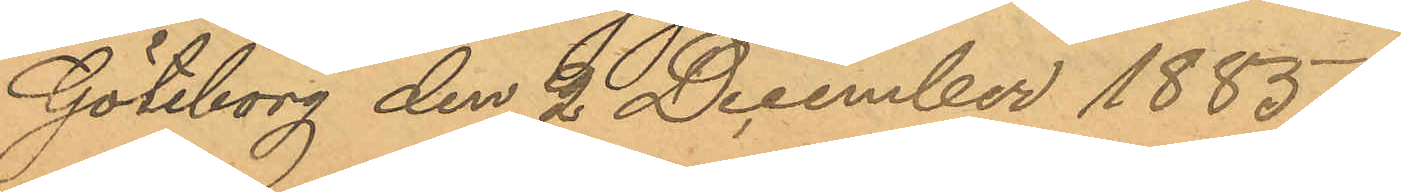Göteborg den 2 December 1885.
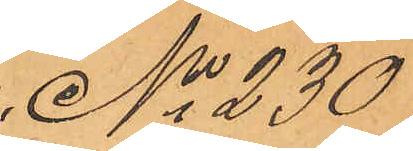No 230
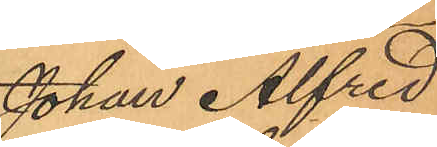Johan Alfred
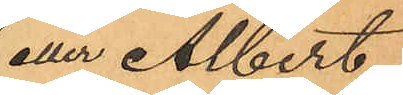eller Albert
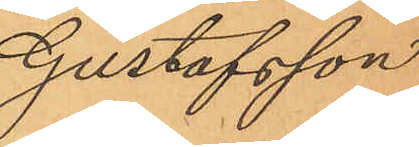Gustafsson
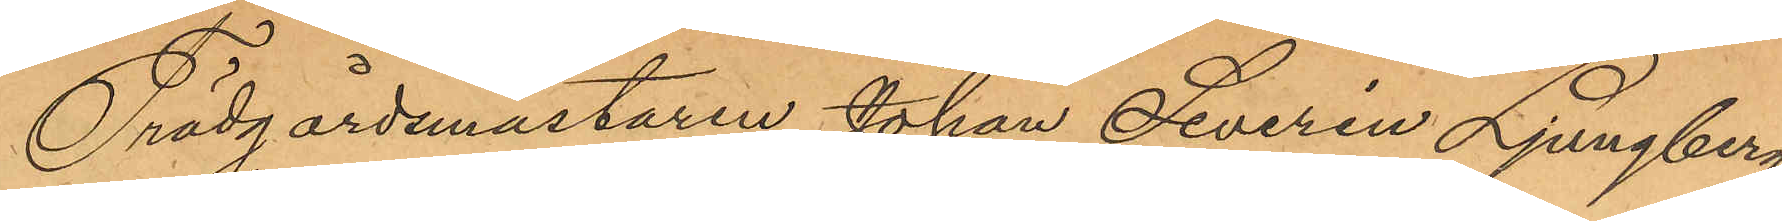Trädgårdsmästaren Johan Severin Ljungberg
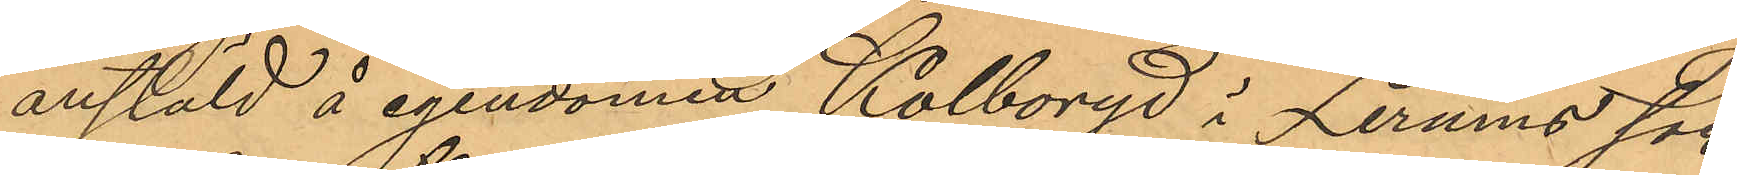anstäld å egendomen Kolboryd i Lerums soc¬
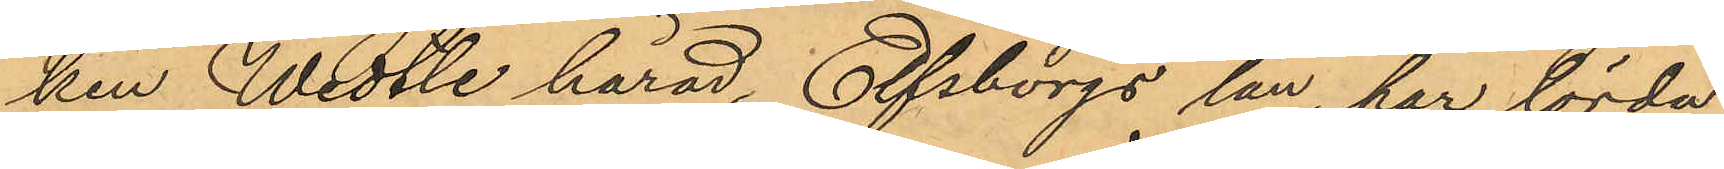ken Wedtle härad, Elfsborgs län, har lörda¬
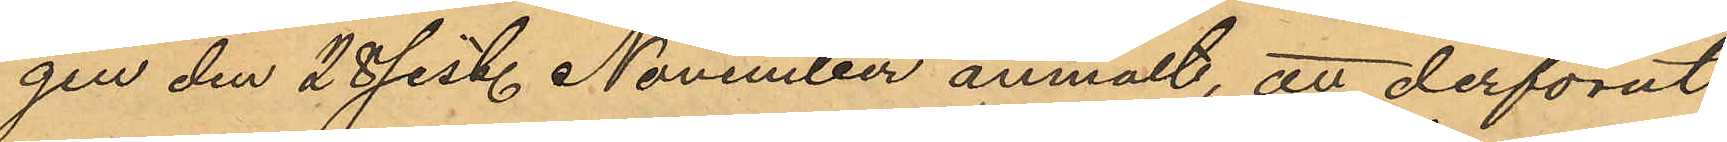gen den 28 sist. November anmält, att derförut
